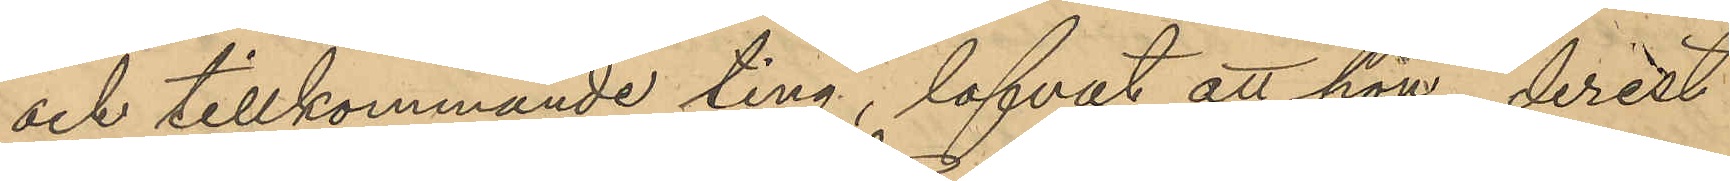och tillkommande ting, lofvat att hon, derest
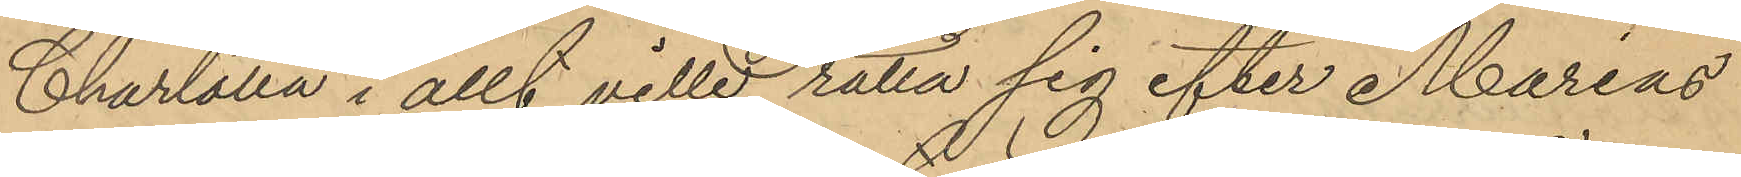Charlotta i allt ville rätta sig efter Marias
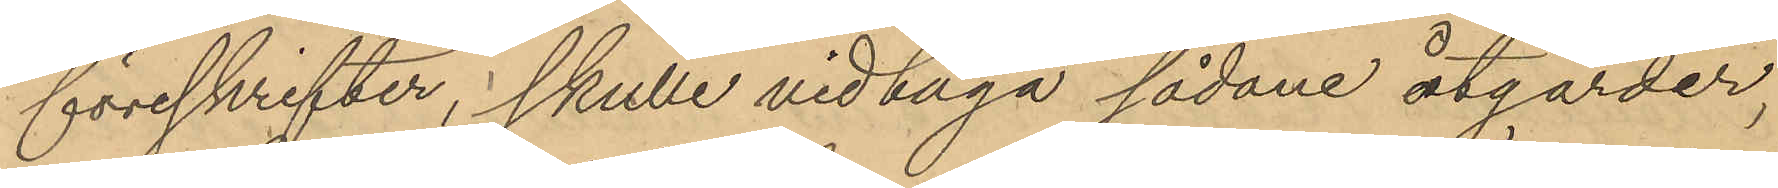föreskrifter, skulle vidtaga sådane åtgärder,
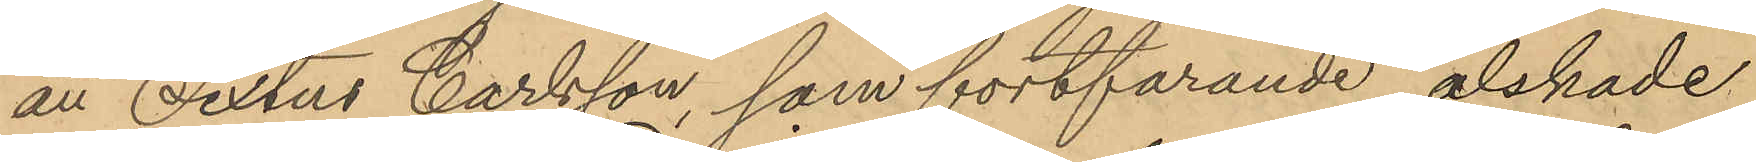att Sixtus Carlsson, som fortfarande älskade
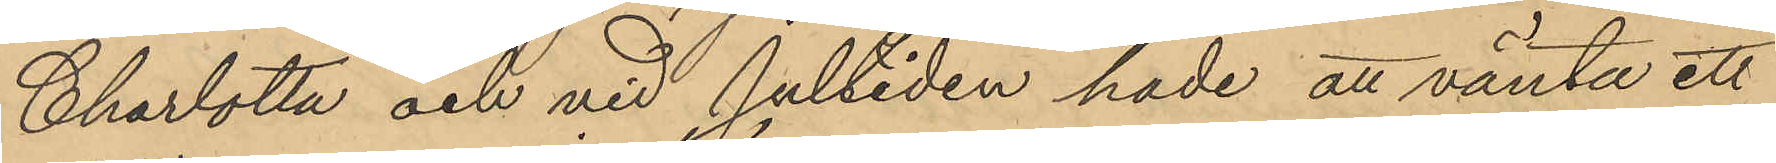Charlotta och vid jultiden hade att vänta ett
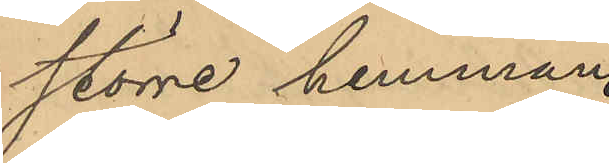större hemman
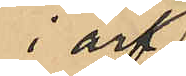i arf
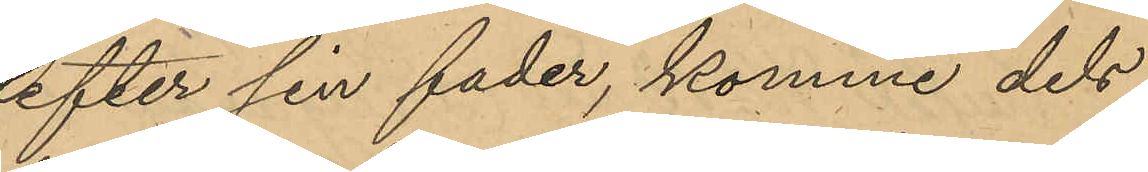efter sin fader, komme dels
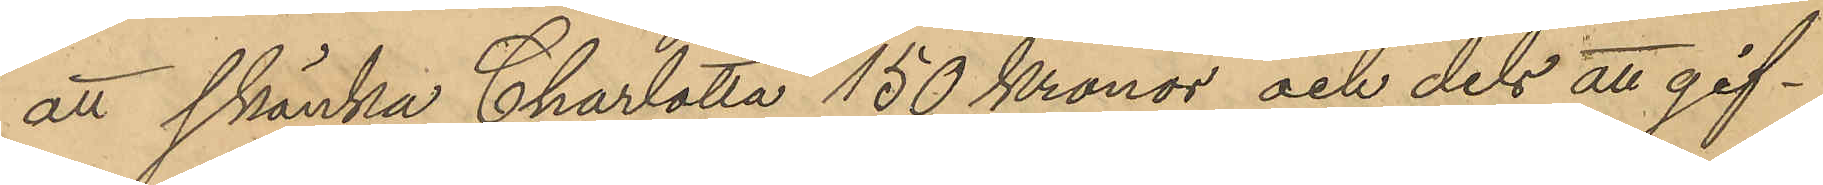att skänka Charlotta 150 Kronor och dels att gif¬
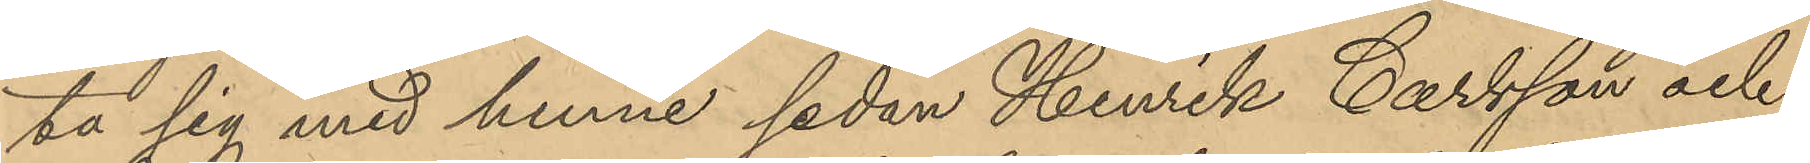ta sig med henne sedan Henrik Carlsson och
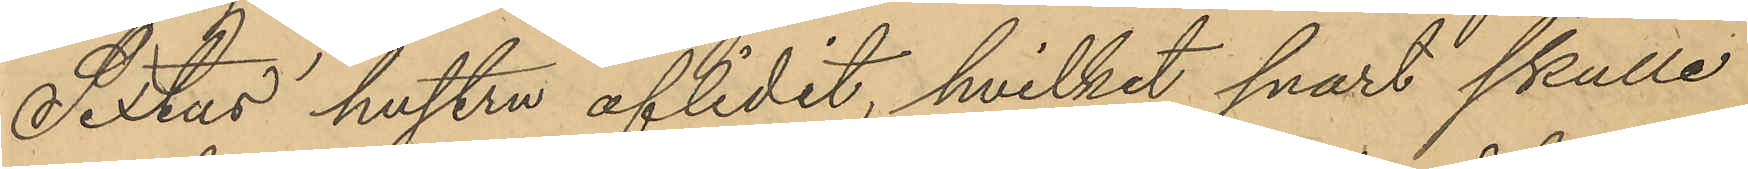Sextus' hustru aflidit, hvilket snart skulle
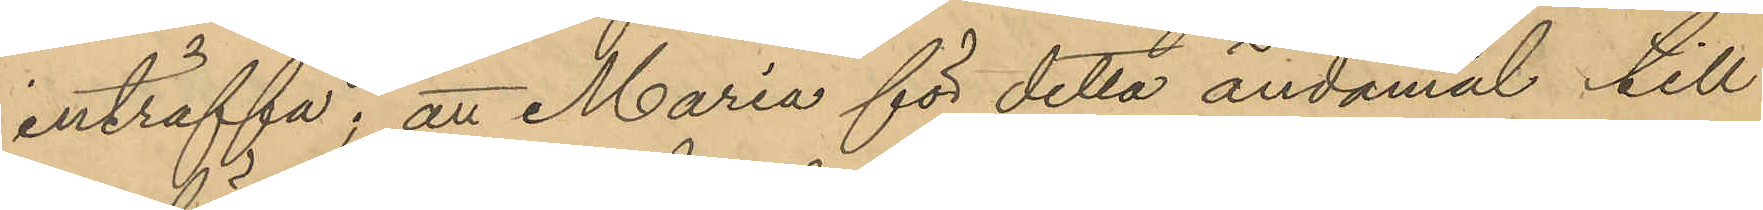inträffa; att Maria för detta ändamål till
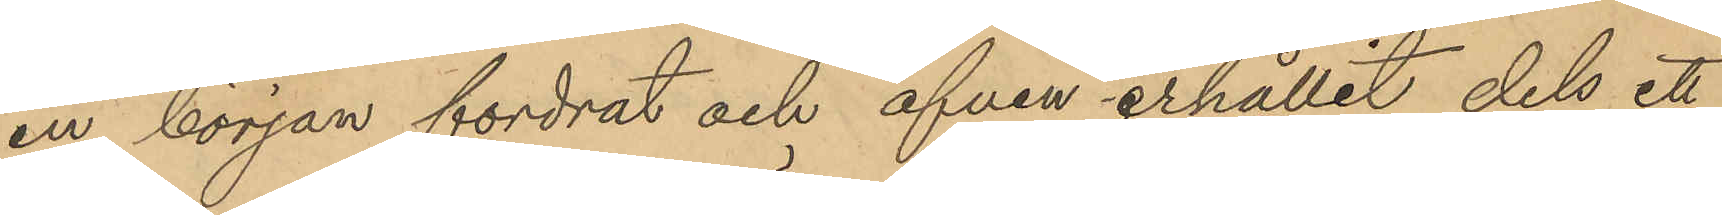en början fordrat och äfven erhållit dels ett
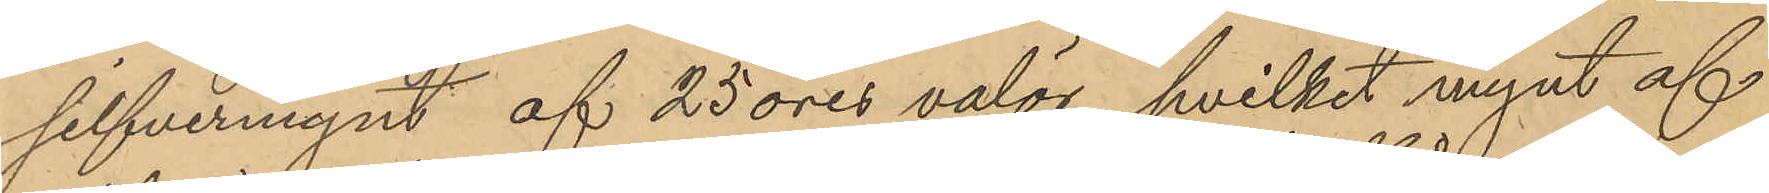silfvermynt af 25 öres valör, hvilket mynt af
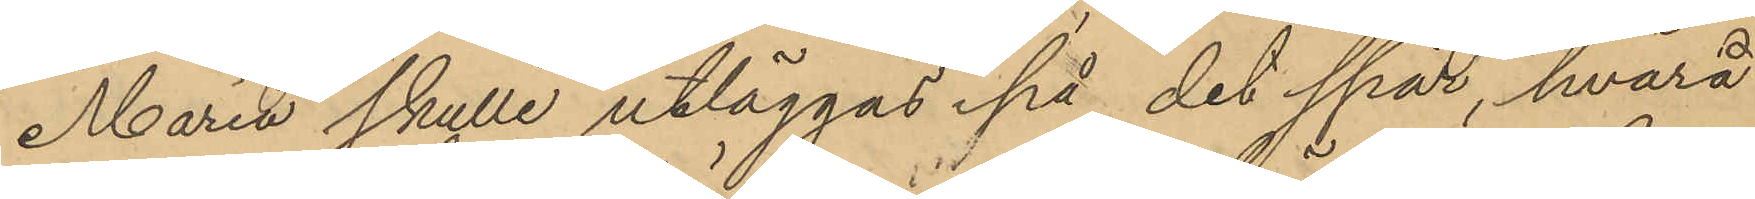Maria skulle utläggas på det spår, hvarå
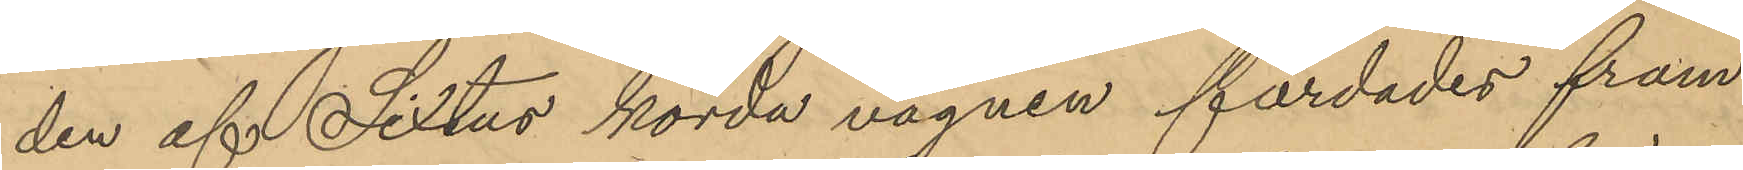den af Sixtus körda vagnen färdades fram
